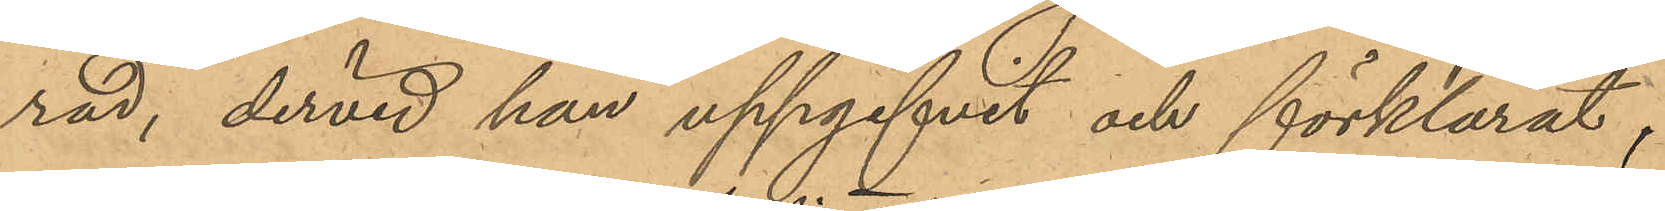rad, dervid han uppgifvit och förklarat,
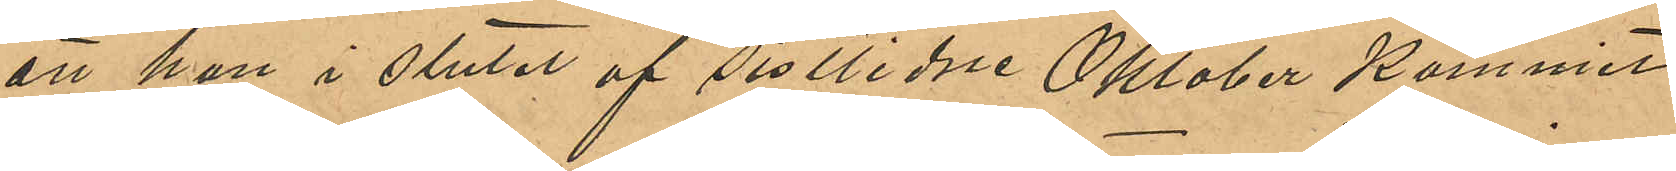att han i slutet af sistlidne Oktober kommit
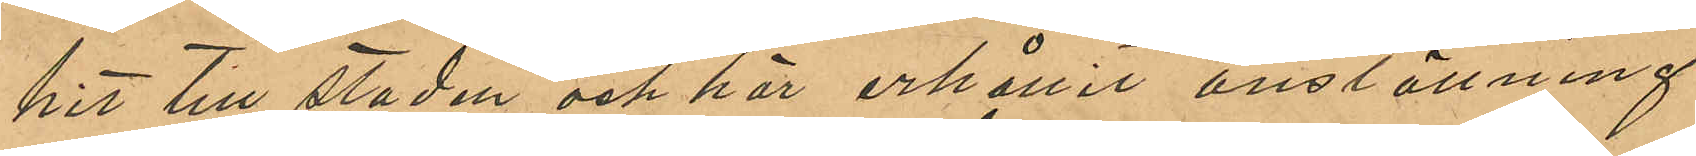hit till staden och här erhållit anställning
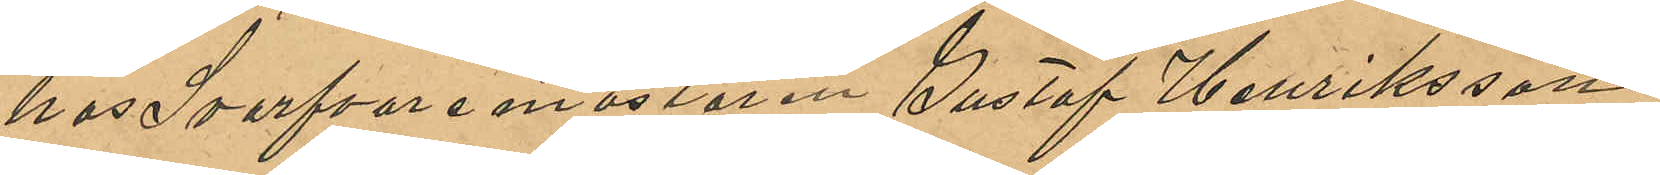hos Svarfverimästaren Gustaf Henriksson;
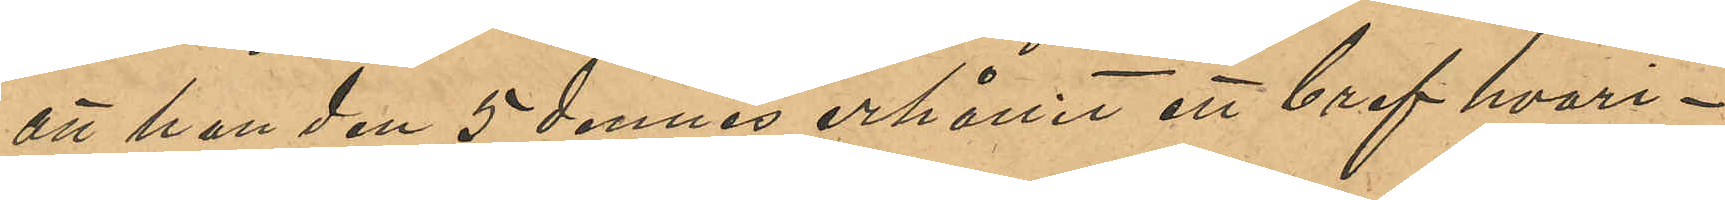att han den 5 dennes erhållit ett bref hvari¬
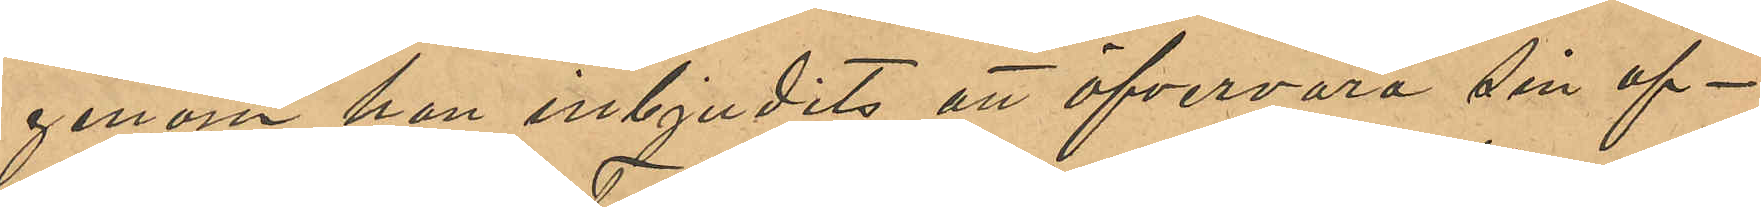genom han erbjudits att öfvervara sin af¬
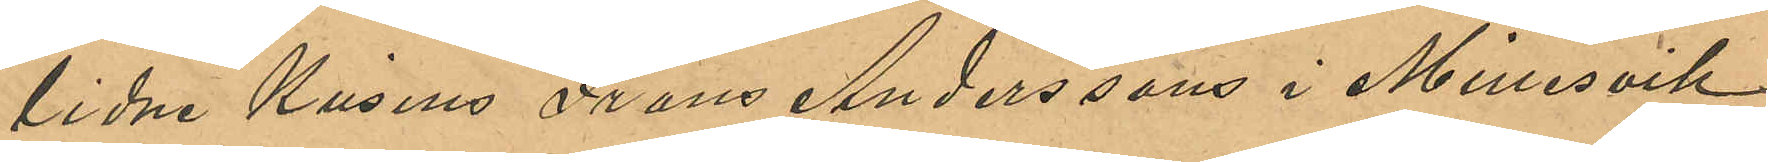lidne Kusins Frans Anderssons i Millesvik
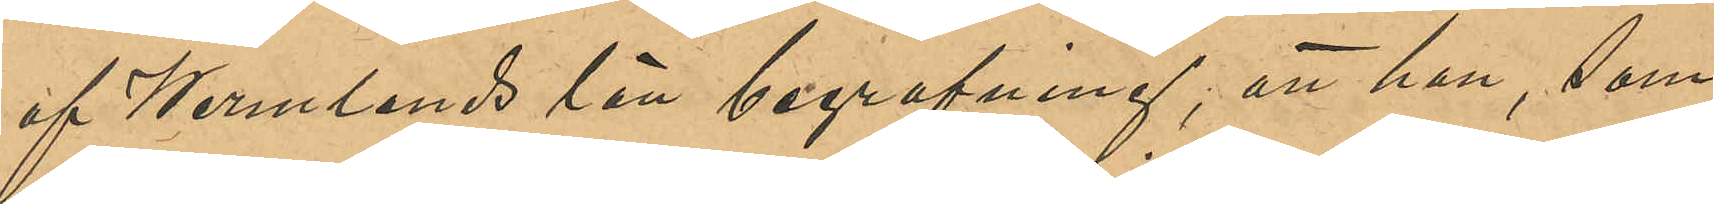af Wermlands län begrafning; att han, som
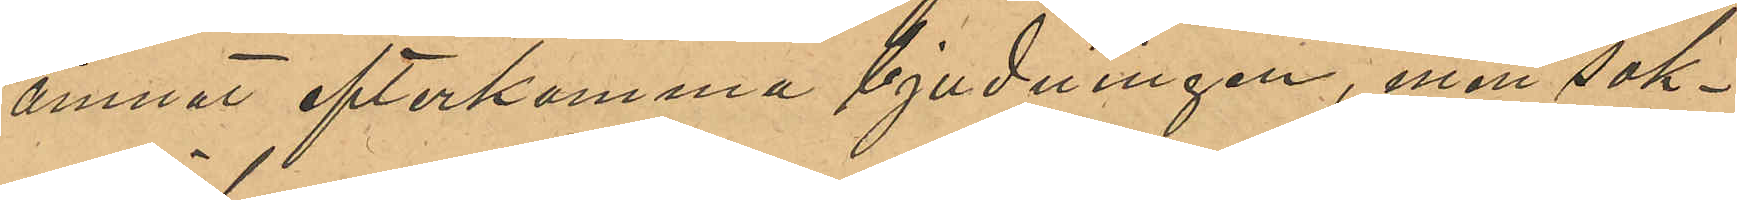ämnat efterkomma bjudningen, men sak¬
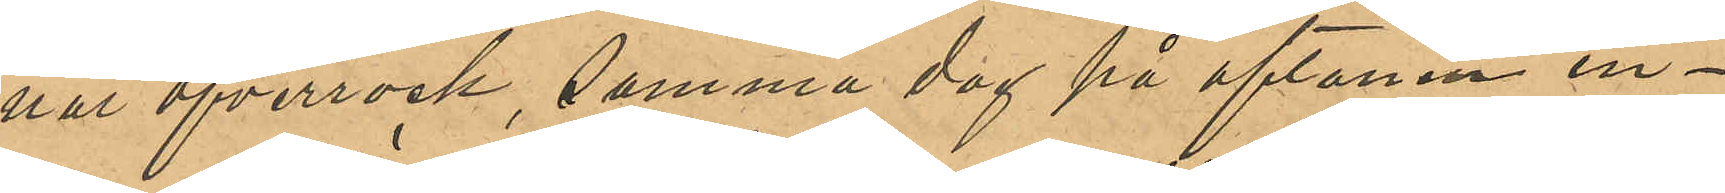nat öfverrock, samma dag på aftonen in¬
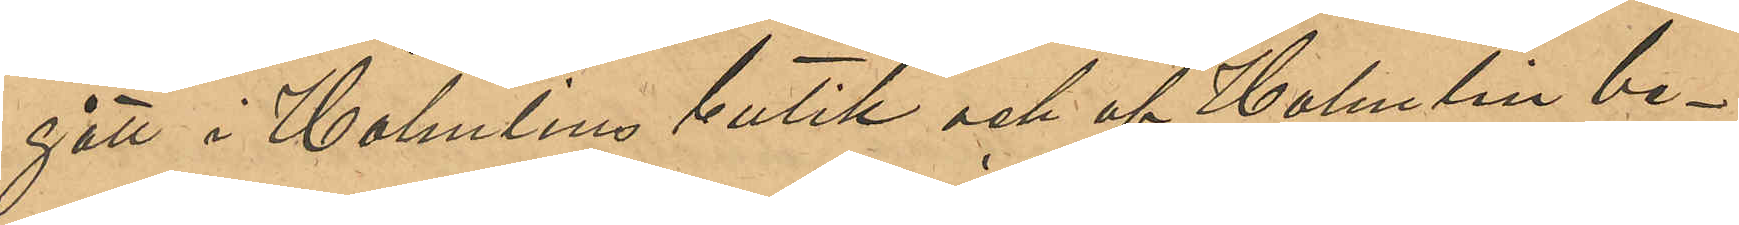gått i Holmlins butik och af Holmlin be¬
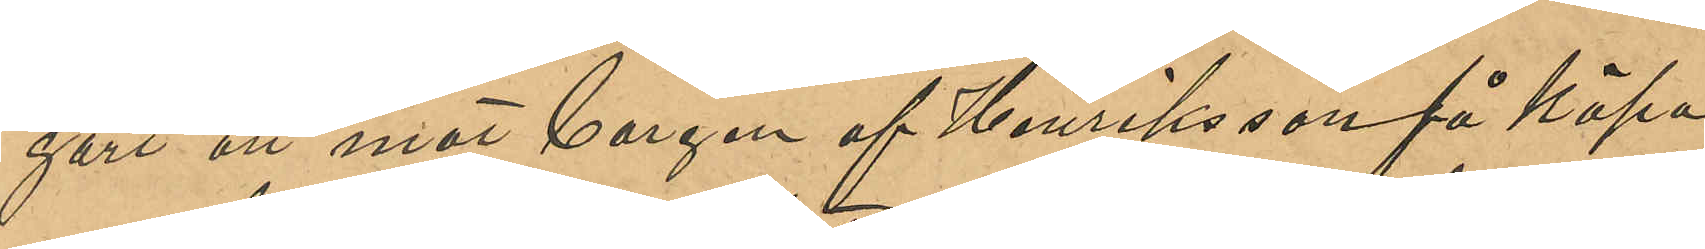gärt att mot borgen af Henriksson få köpa
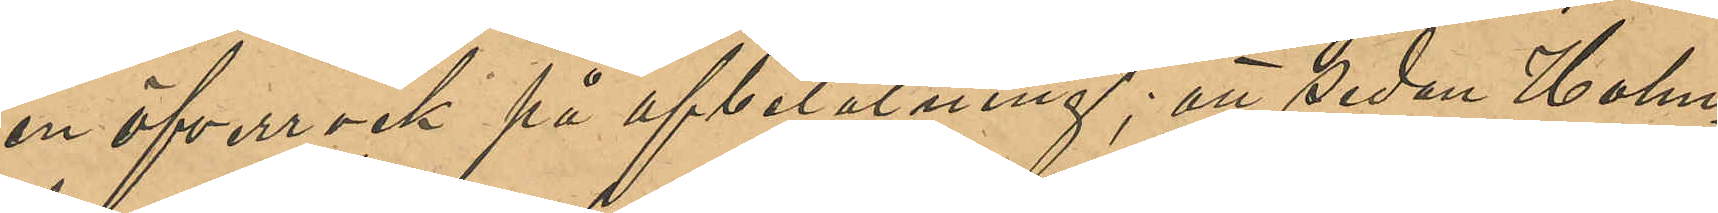en öfverrock på afbetalning; att sedan Holm¬
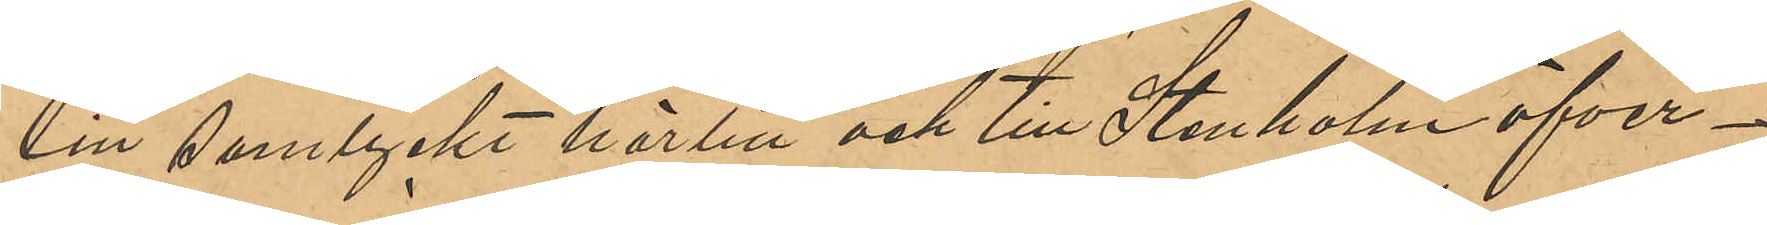lin samtyckt härtill och till Stenholm öfver¬
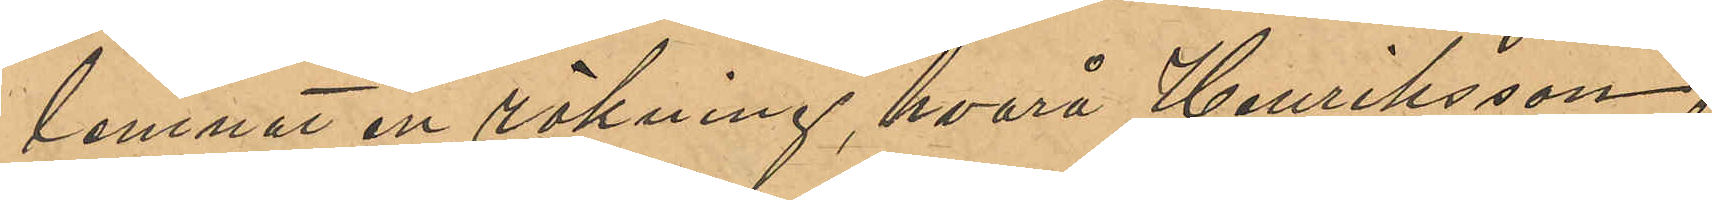lemnat en räkning, hvarå Henriksson
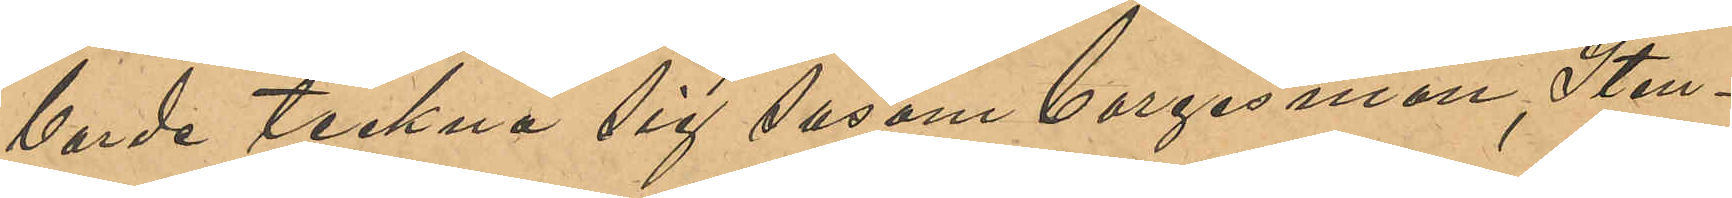borde teckna sig såsom borgesman, Sten¬
